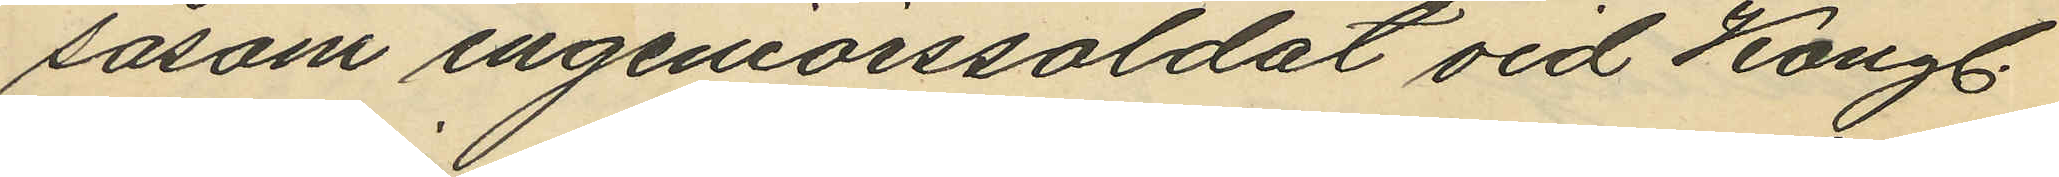såsom ingeniörssoldat vid Kongl.
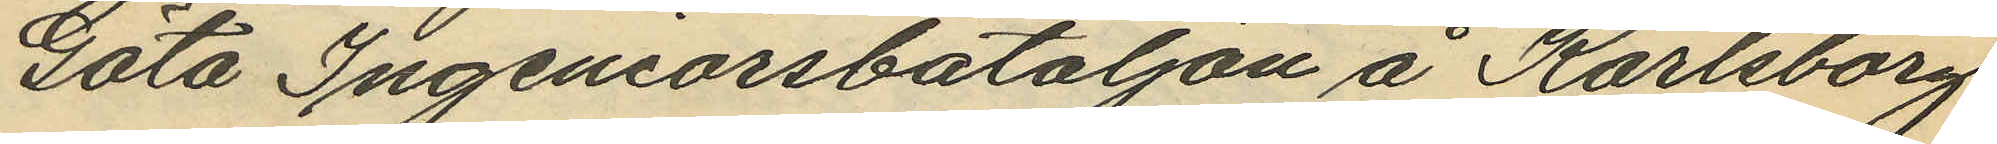Göta Ingeniörsbataljon å Karlsborg
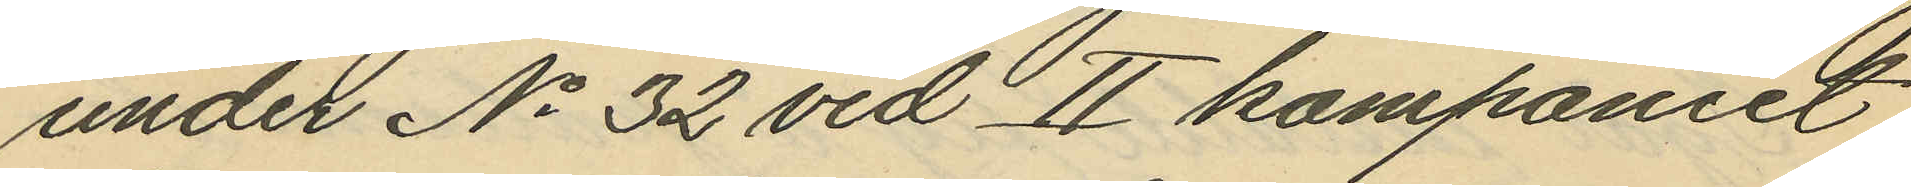under No 32 vid II kompaniet
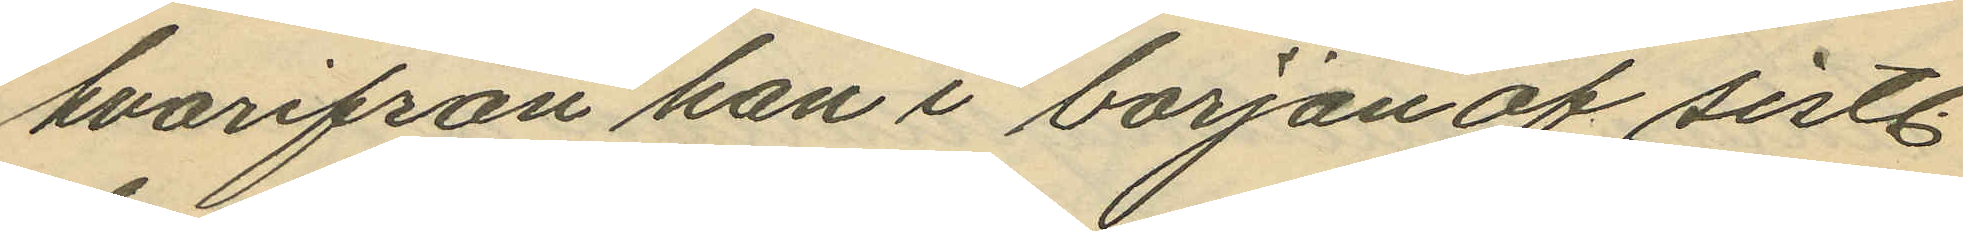hvarifrån han i början af sistl.
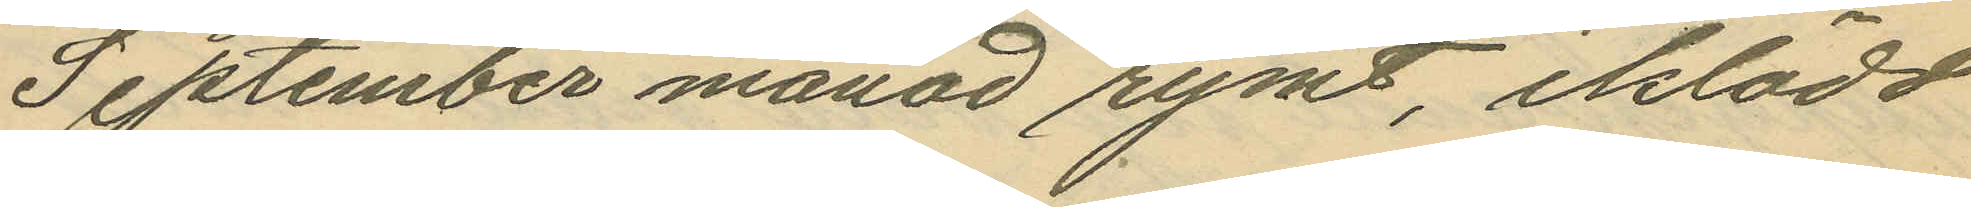September månad rymt, iklädd
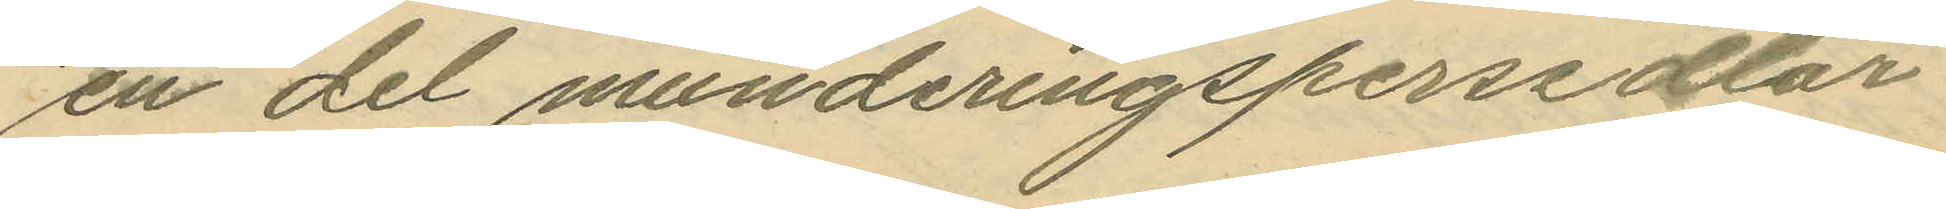en del munderingspersedlar
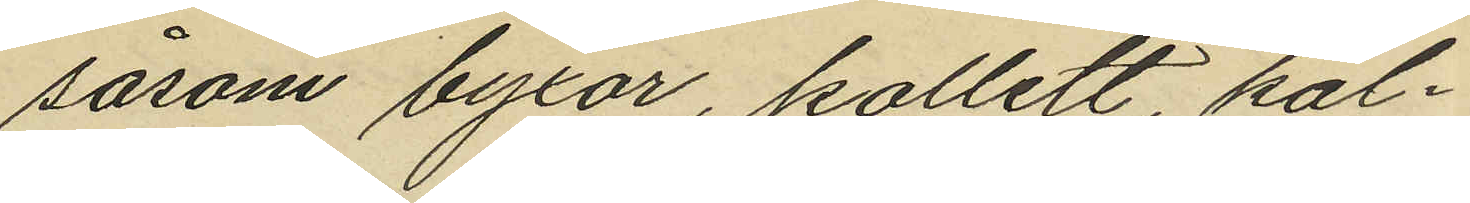såsom byxor, kollett, kal¬
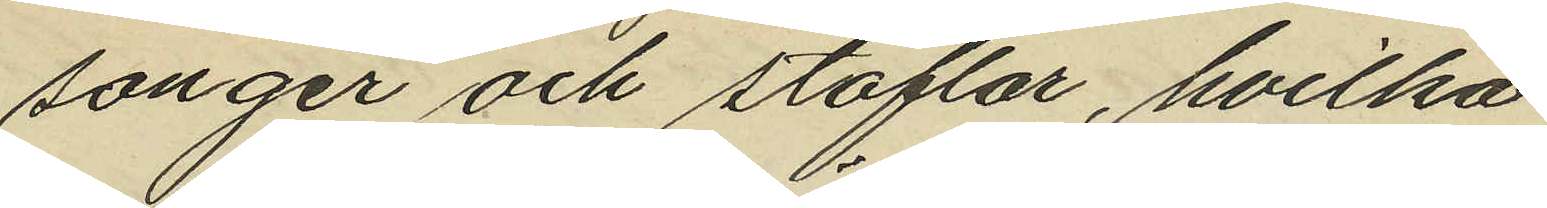songer och stöflar, hvilka
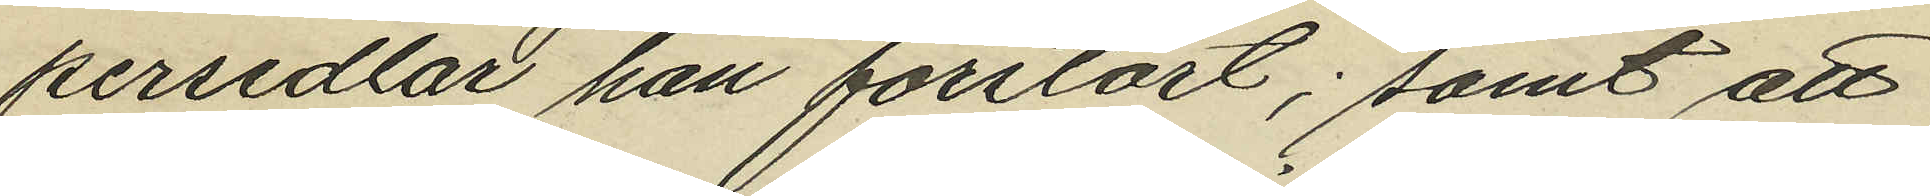persedlar han förstört; samt att
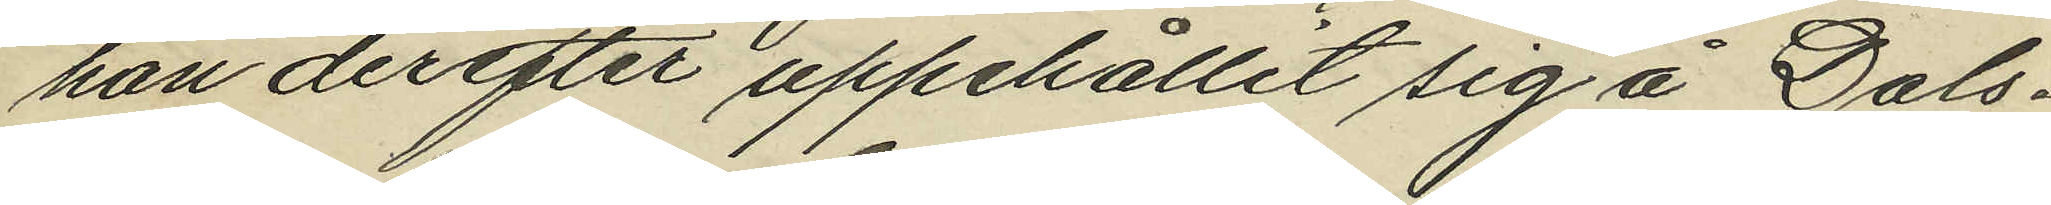han derefter uppehållit sig å Dals¬
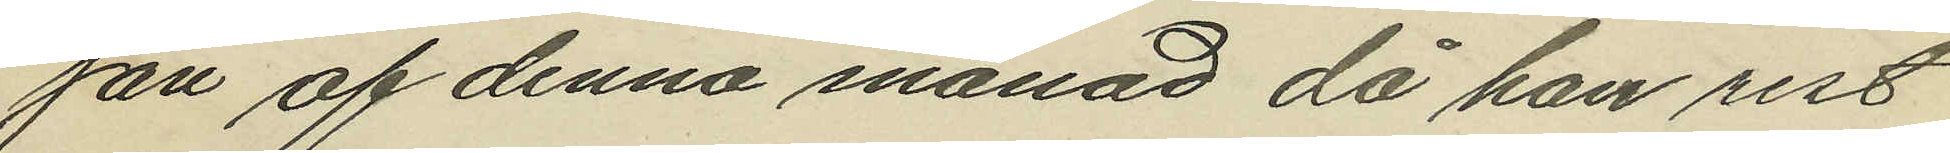jan af denna månad då han rest
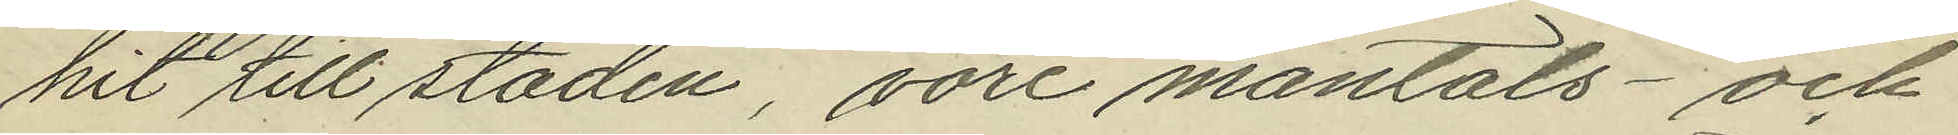hit till staden, vore mantals- och
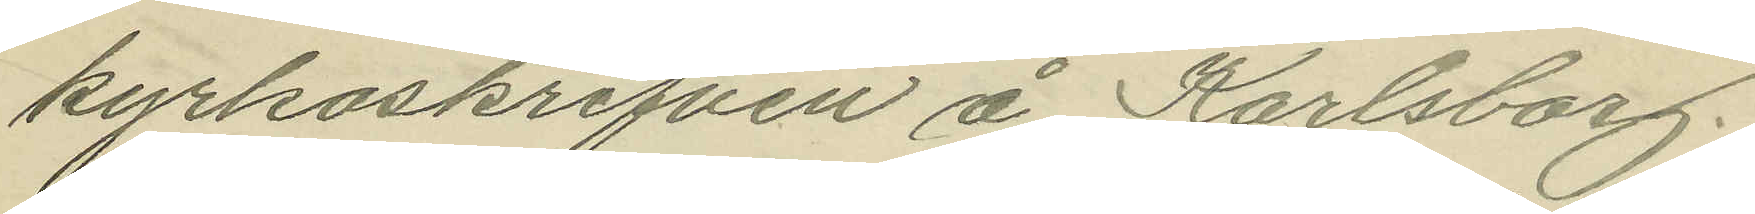kyrkoskrifven å Karlsborg.
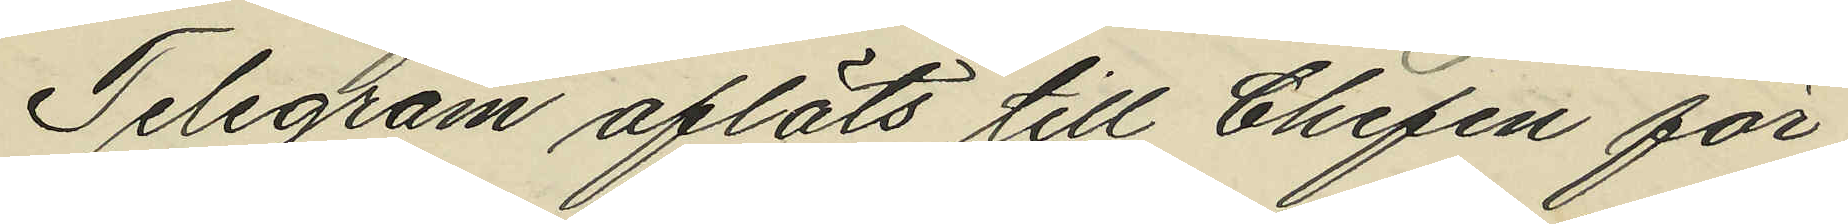Telegram afläts till Chefen för
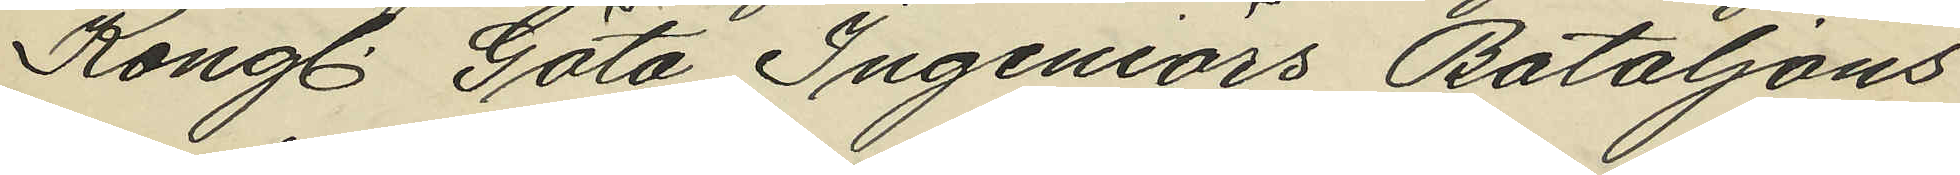Kongl. Göta Ingeniörs Bataljons
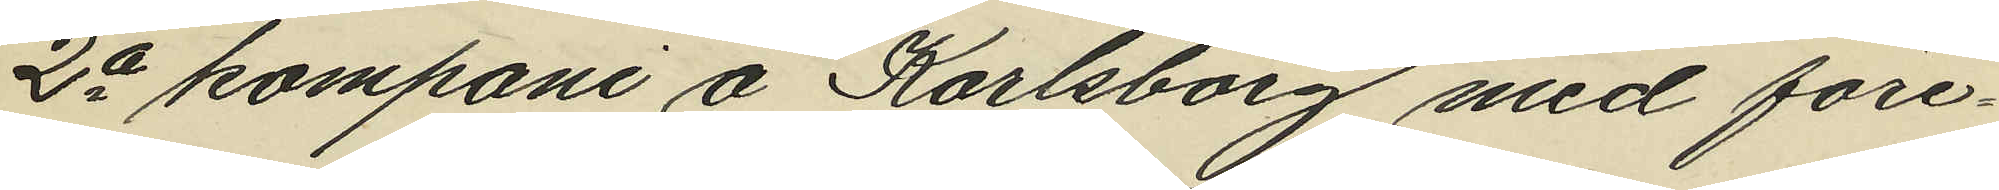2a kompani å Karlsborg med före¬
